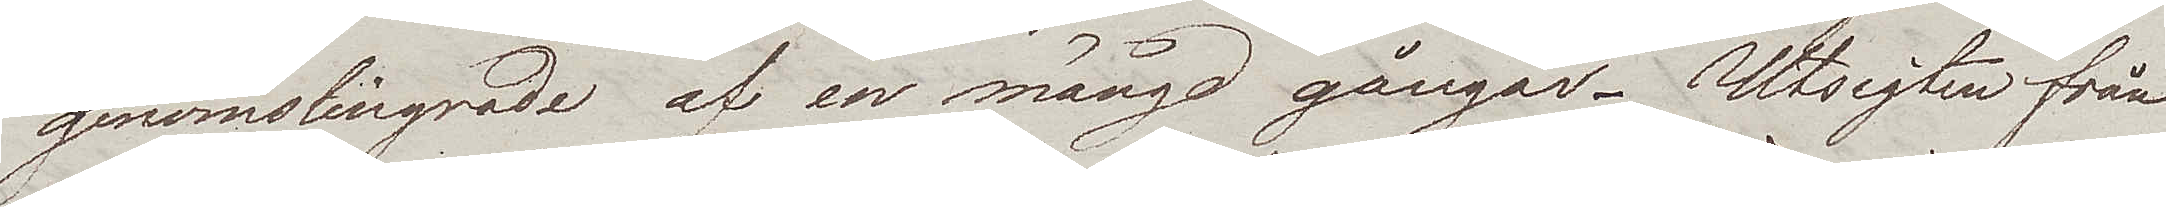genomslingrade af en mängd gångar. Utsigten från
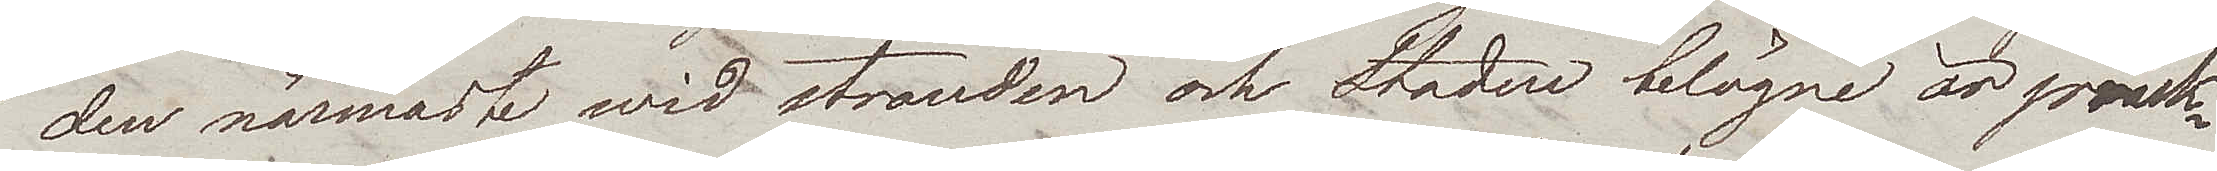den närmaste wid stranden och Staden belägne är präk¬
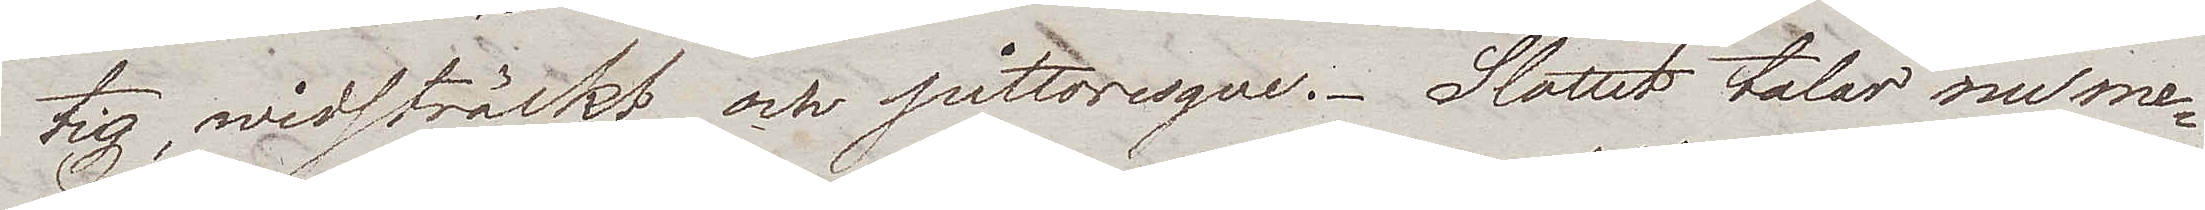tig, widsträckt och pittoresque. Slottet talar nume¬
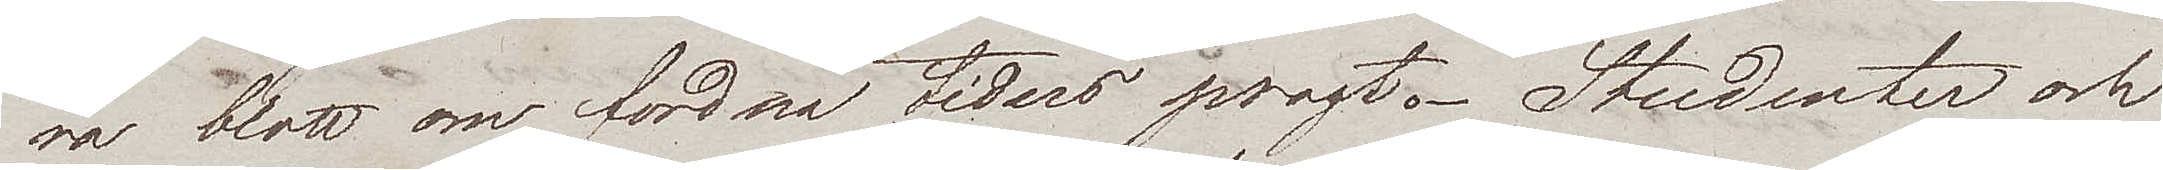ra blott om fordna tiders pragt. Studenter och
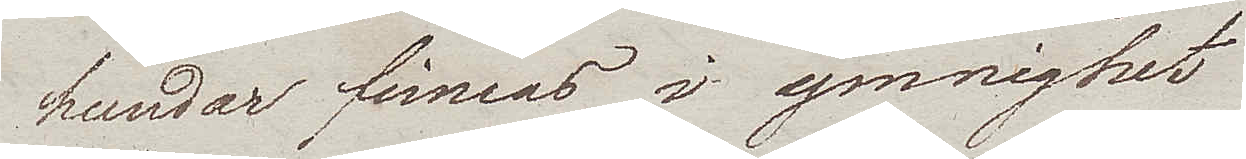hundar finnas i ymnighet.
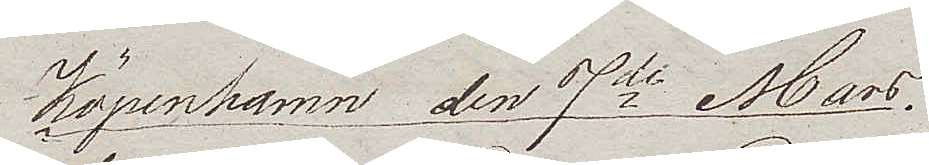Köpenhamn den 7de Mars.
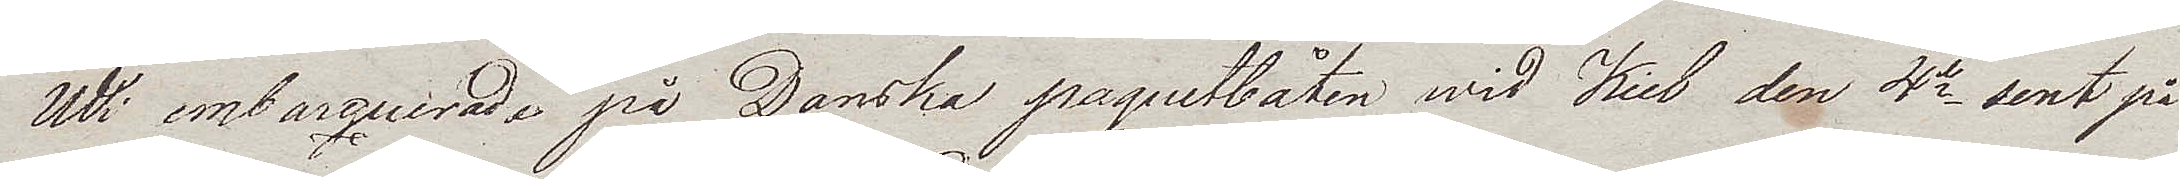Wi embarquerade på Danska paguetbåten wid Kiel den 4de sent på
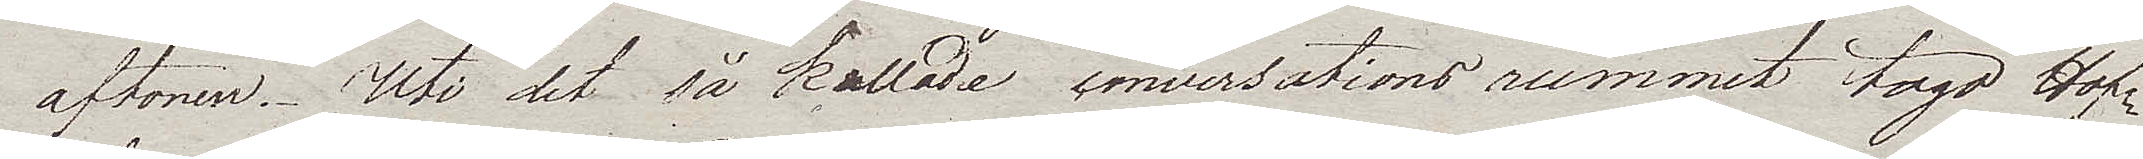aftonen. Uti det så kallade conversationsrummet togo Hof¬
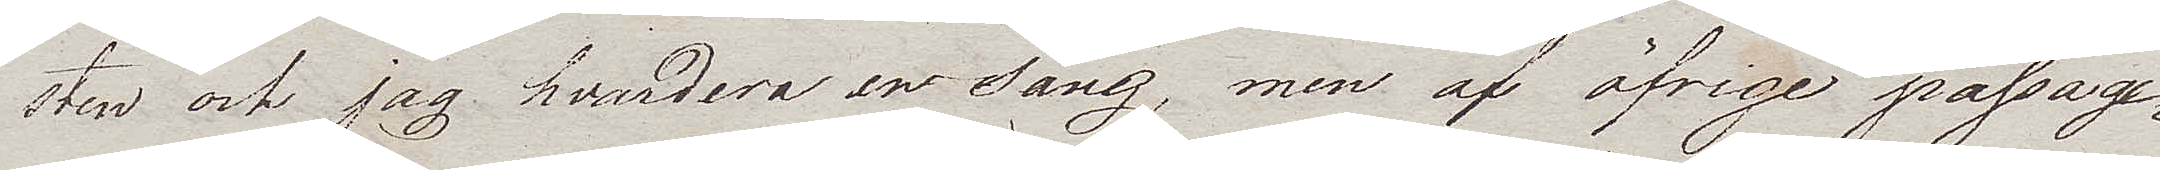sten och jag hvardera en säng, men af öfrige passage¬
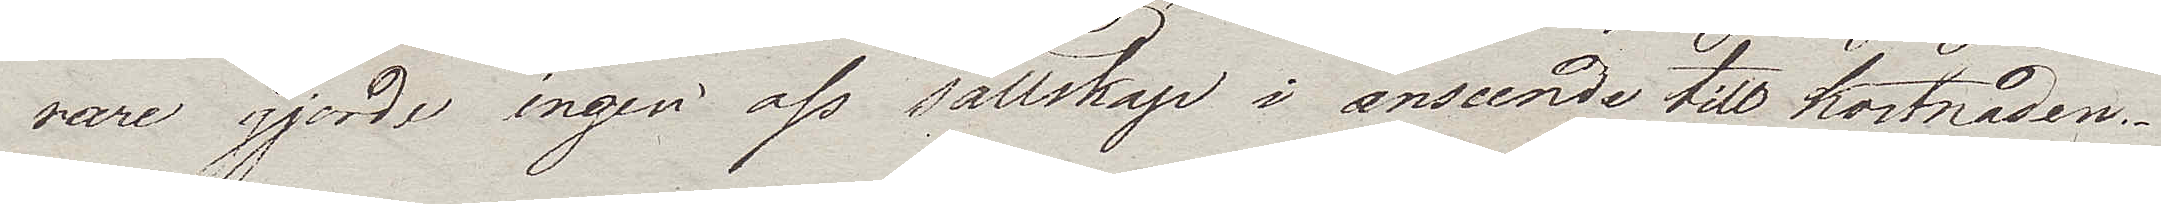rare gjorde ingen oss sällskap i anseende till kostnaden.
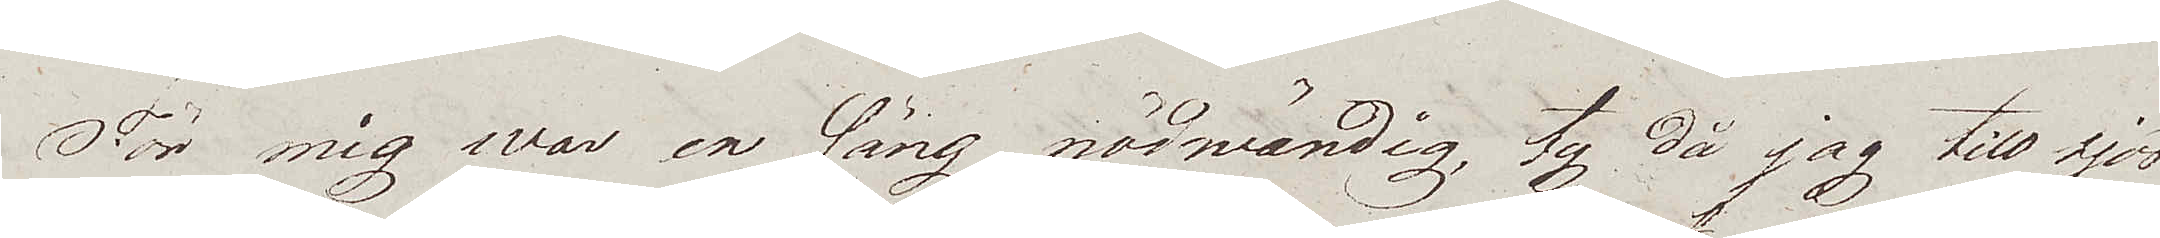För mig war en säng nödwändig, ty då jag till sjöss
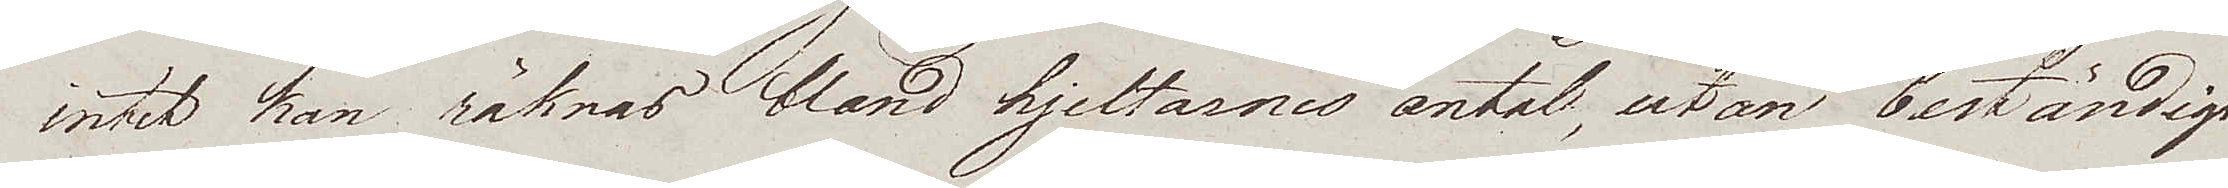intet han räknas bland hjeltarnes antal, utan beständigt
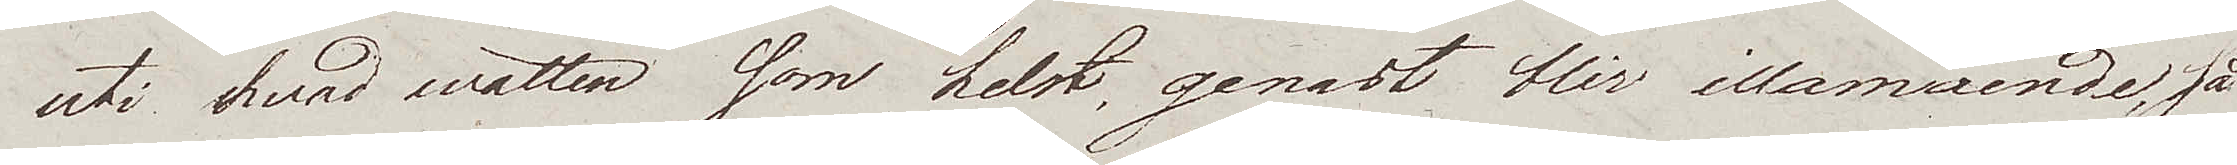uti hvad watten som helst genast blir illamående, så
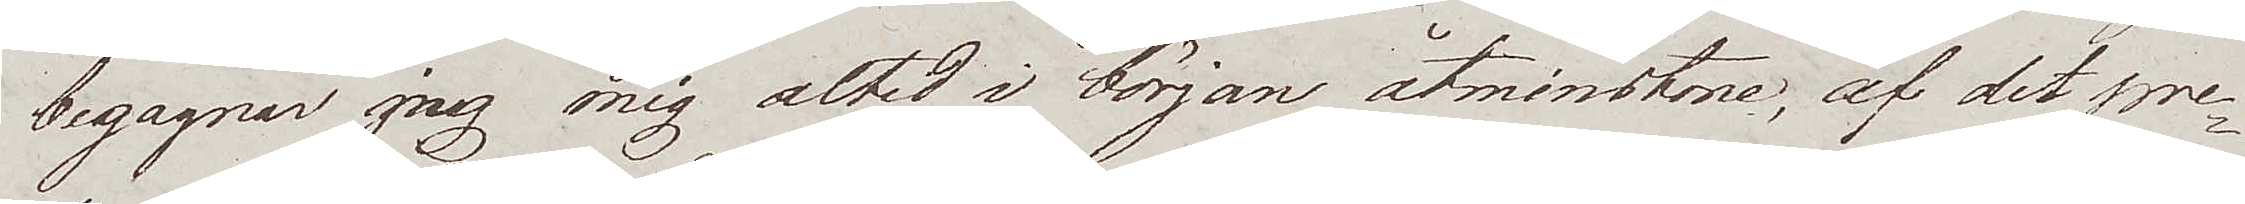begagnar jag mig altid i början åtminstone, af det pre¬
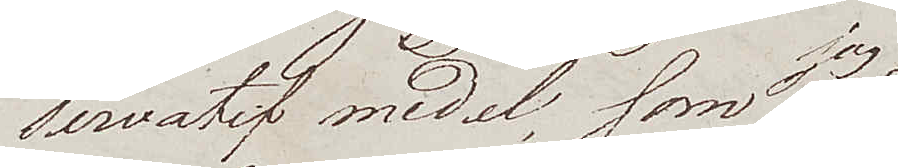servatif medel, som jag
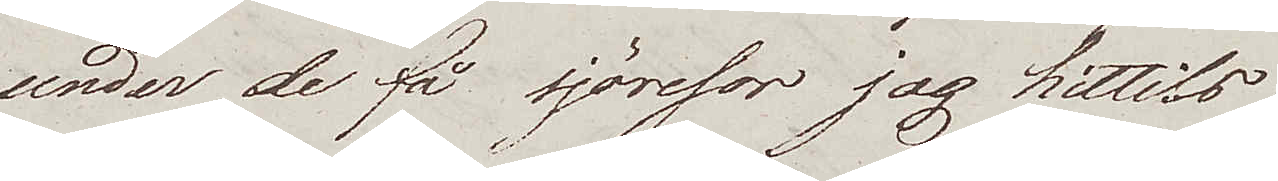under de få sjöresor jag hittills
